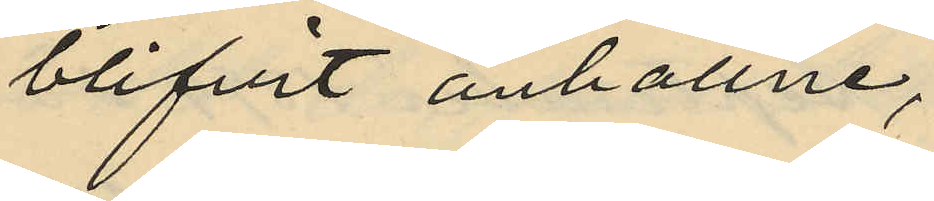blifvit anhållne,
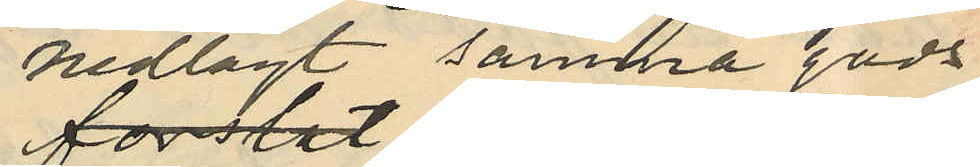nedlagt samma gods
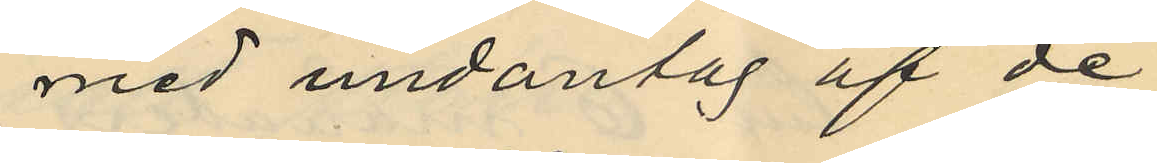med undantag af de
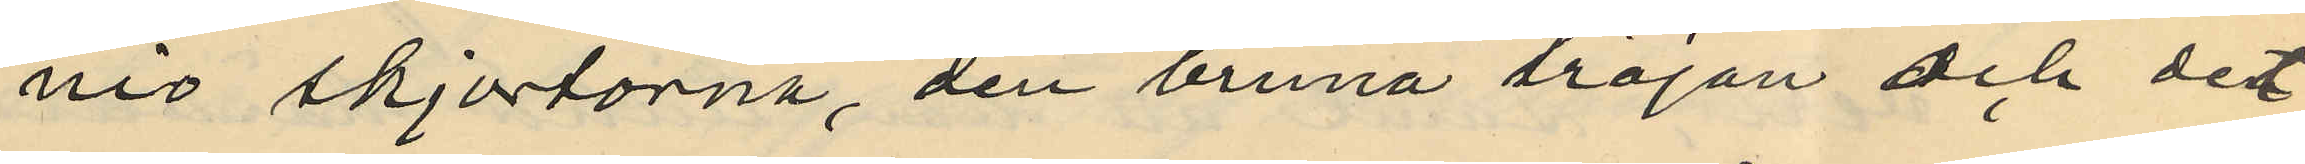nio skjortorna, den bruna tröjan och det
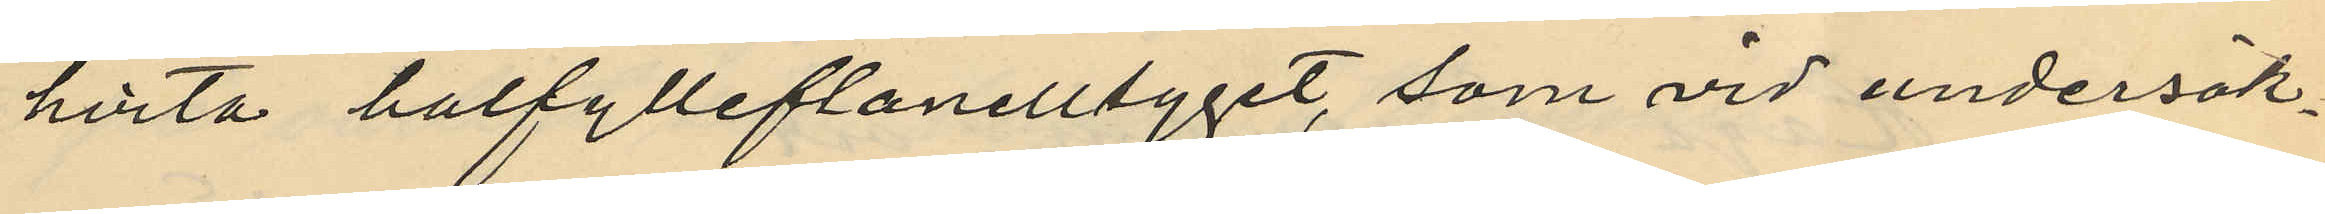hvita halfylleflanelltyget, som vid undersök¬
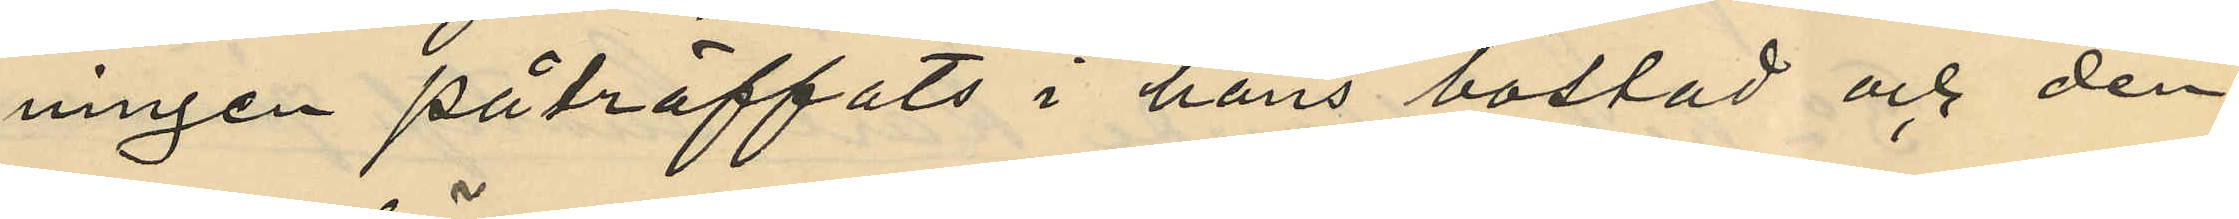ningen påträffats i hans bostad och den
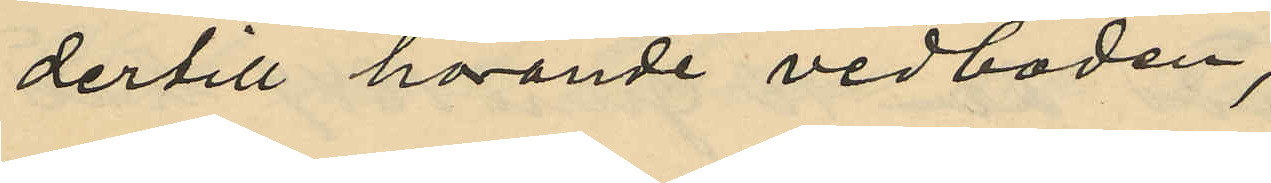dertill hörande vedboden,
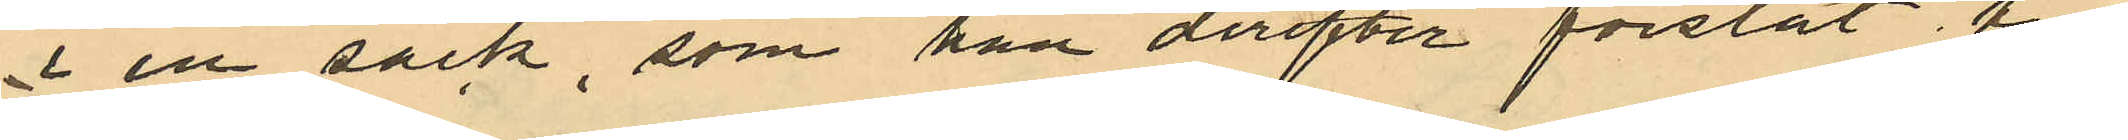i en säck, som han derefter forslat till
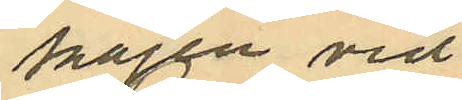kajen vid
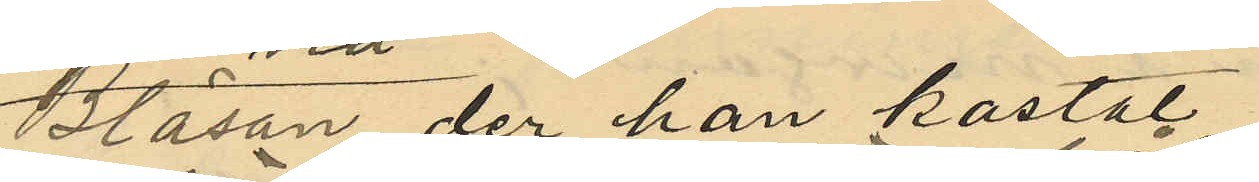Bläsan, der han kastat
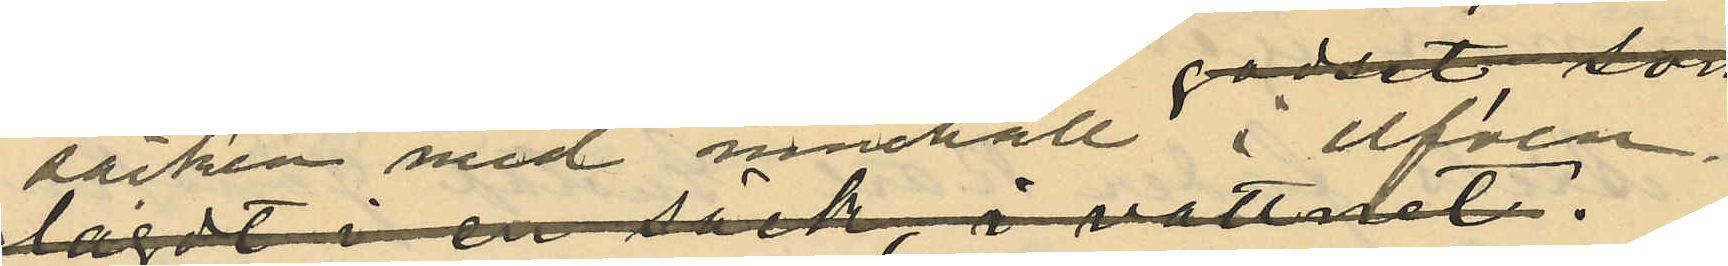säcken med innehåll i elfen.
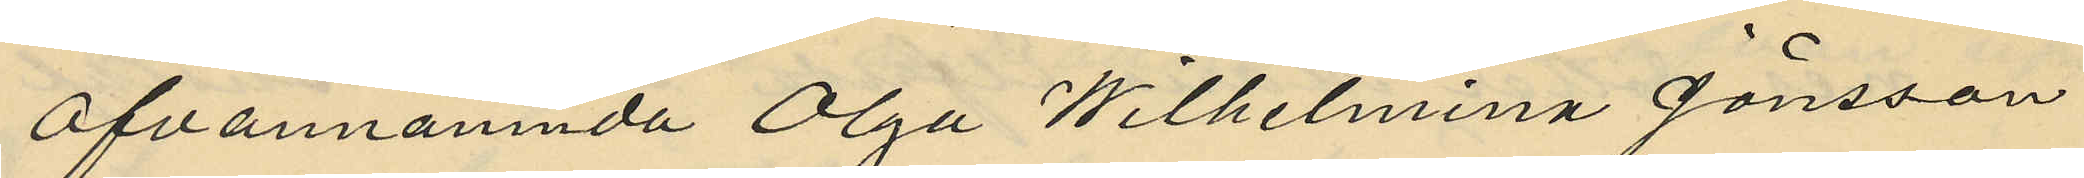Ofvannämnda Olga Wilhelmina Jönsson
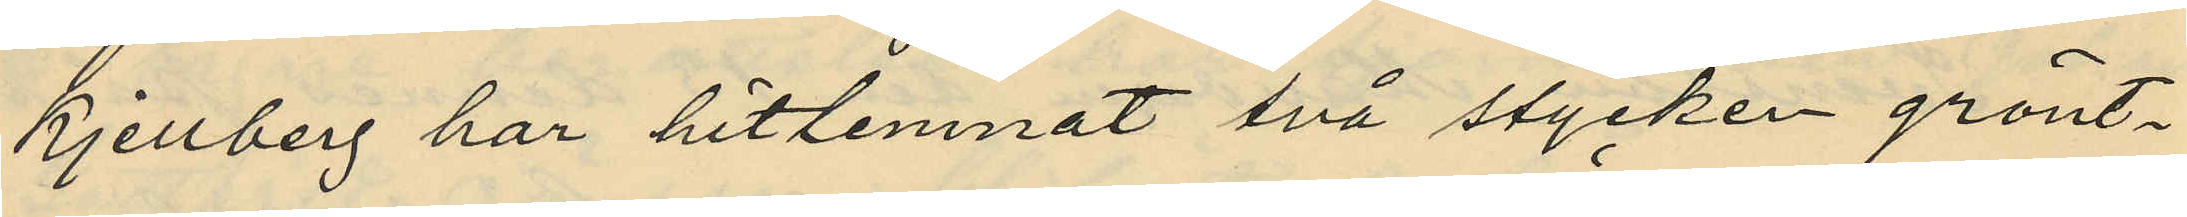Kjellberg har hitlemnat två stycken grönt¬
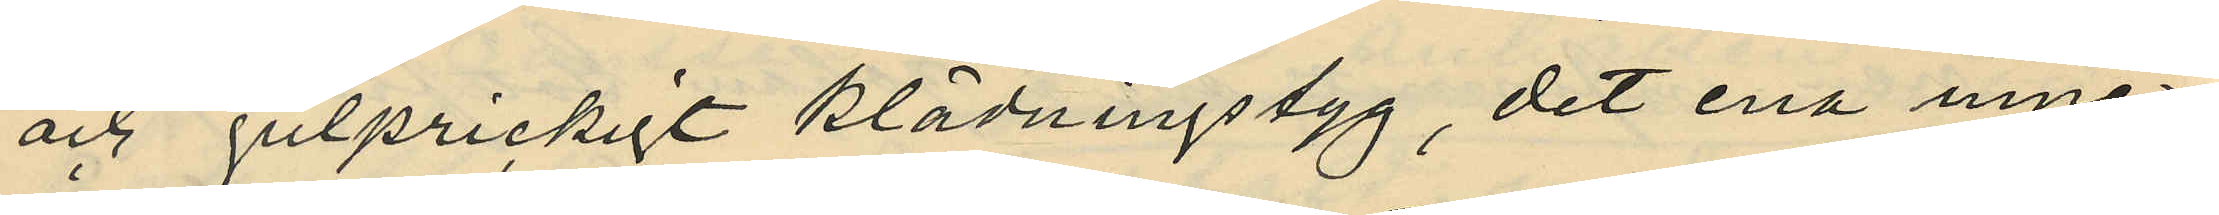och gulprickigt klädningstyg, det ena inne¬
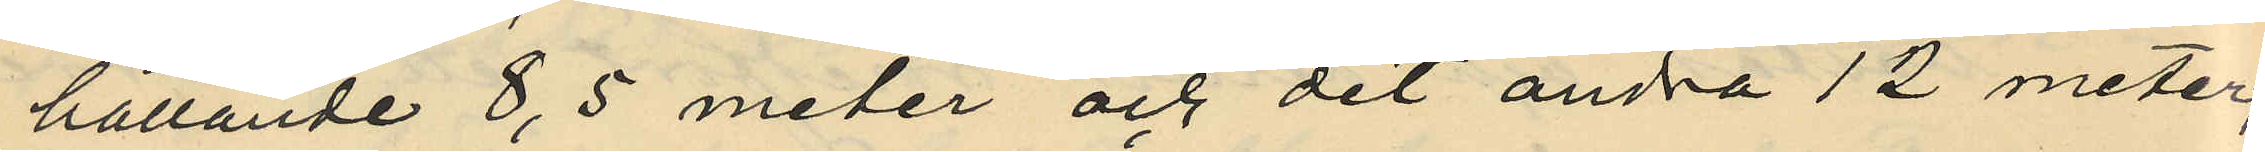hållande 8,5 meter och det andra 12 meter,
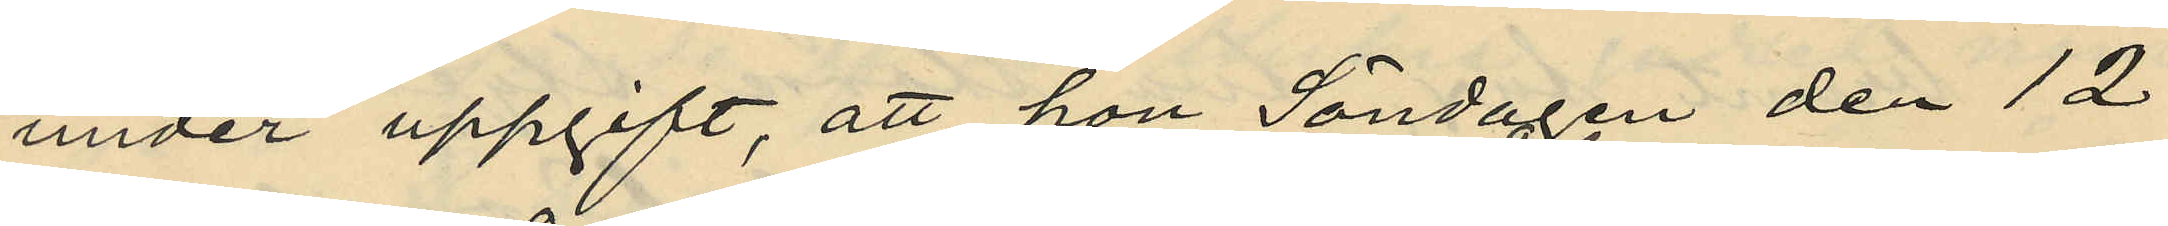under uppgift, att hon Söndagen den 12
